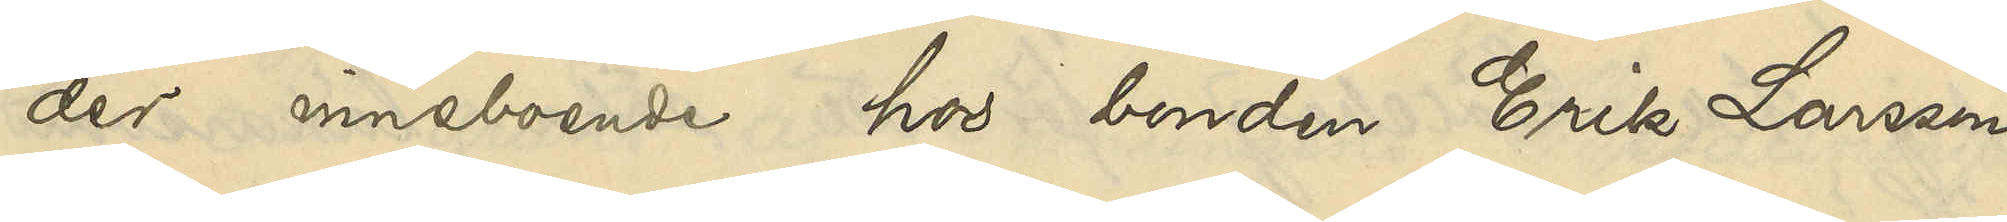der inneboende hos bonden Erik Larsson
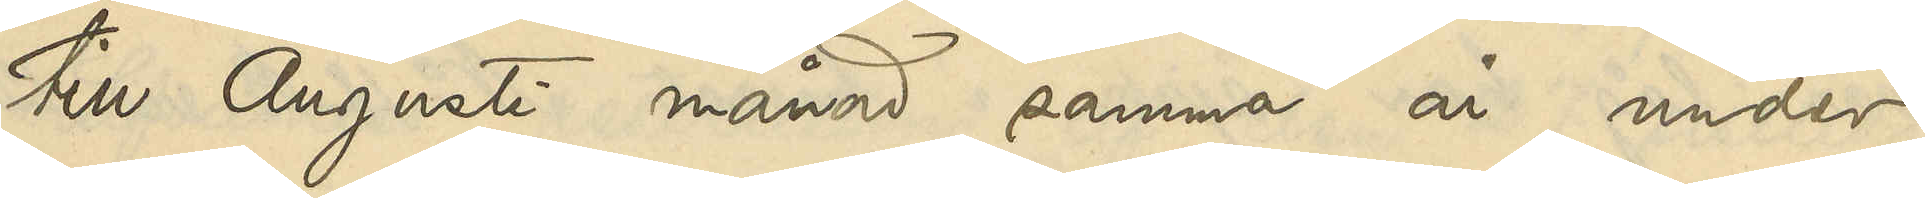till Augusti månad samma år, under
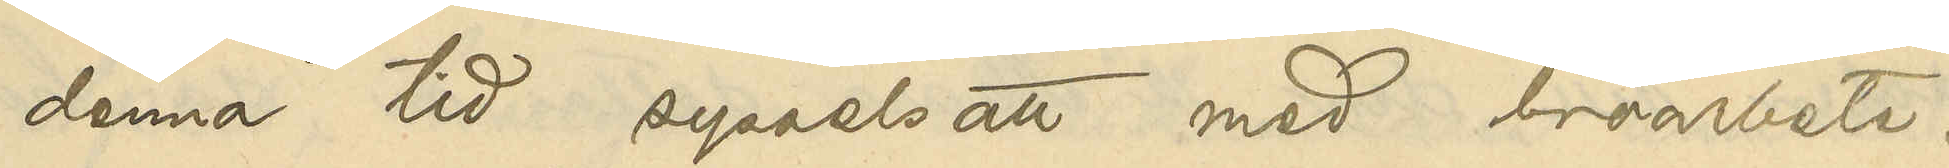denna tid sysselsatt med broarbete.
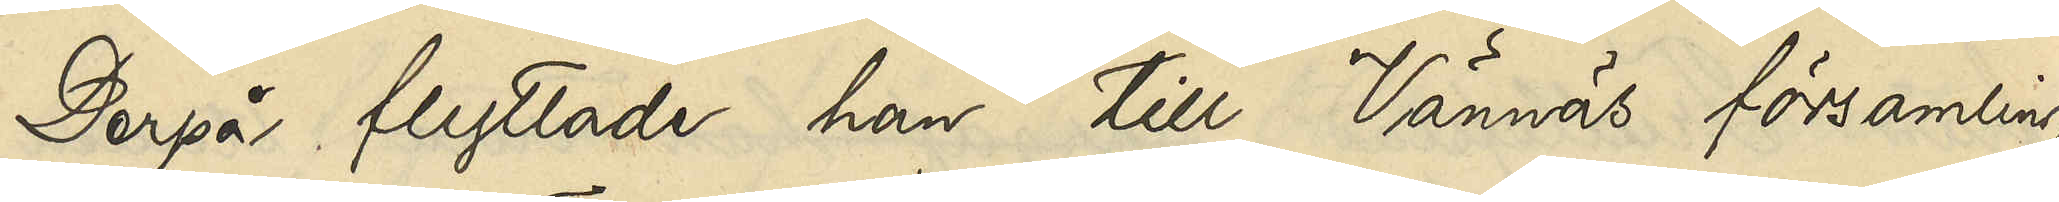Derpå flyttade han till Vännäs församling
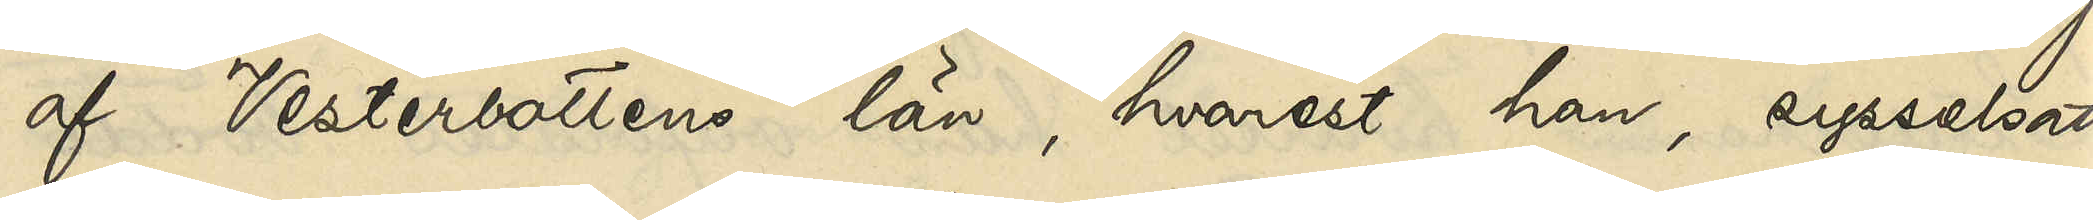af Vesterbottens län, hvarest han, sysselsatt
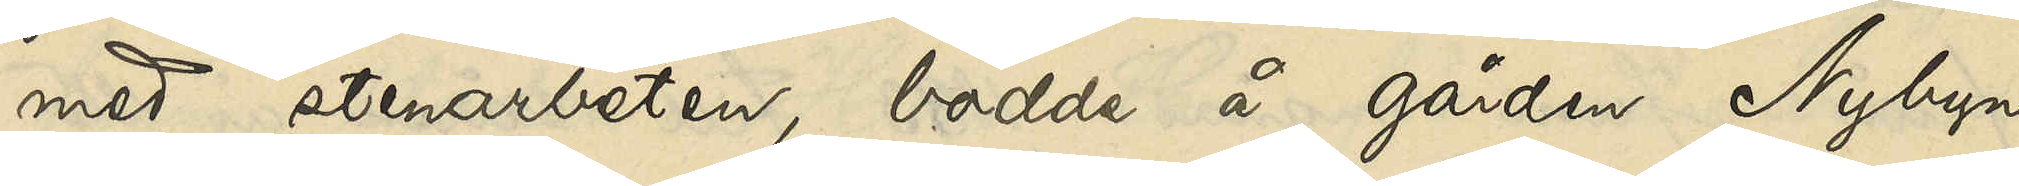med stenarbeten, bodde å gården Nybyn
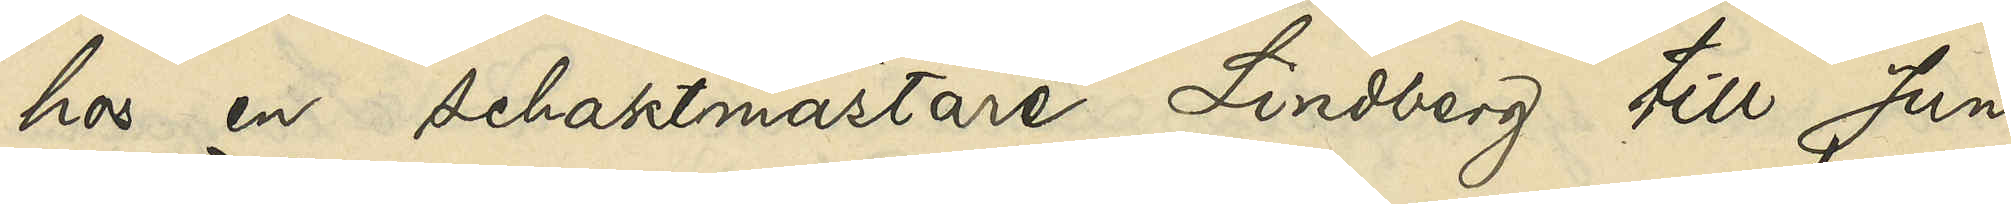hos en schaktmästare Lindberg till Juni
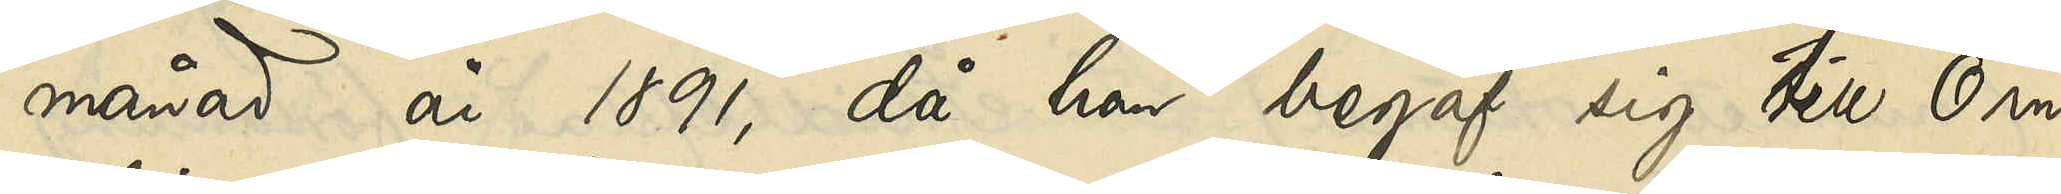månad år 1891, då han begaf sig till Örn¬
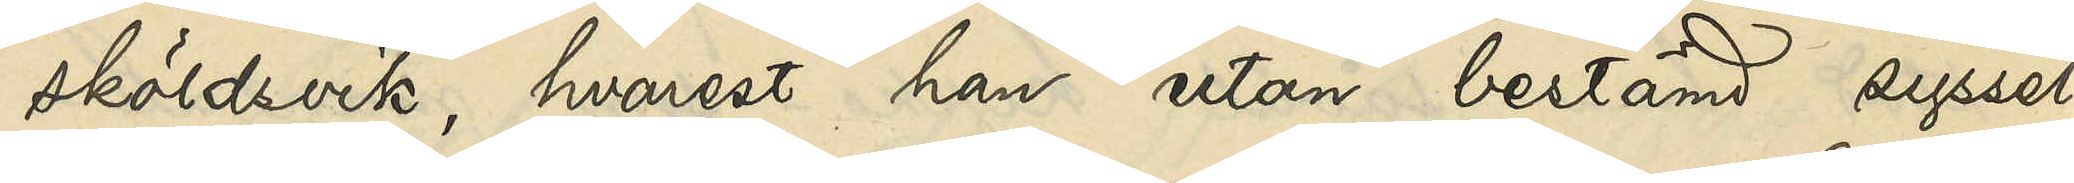sköldsvik, hvarest han utan bestämd syssel¬
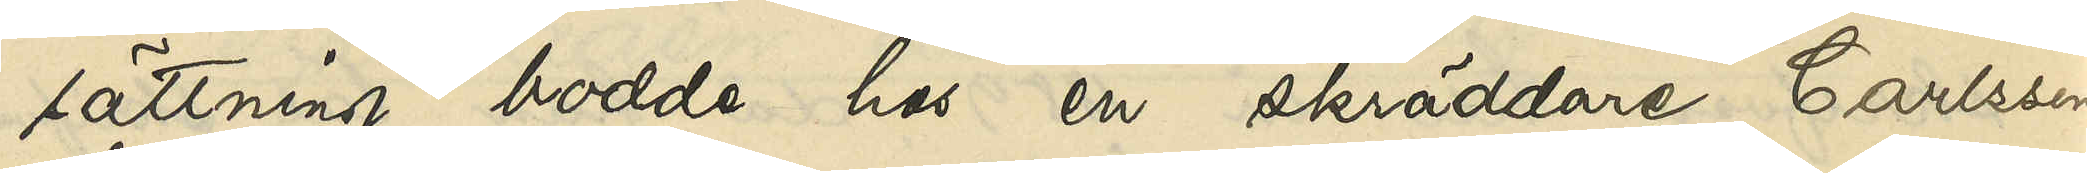sättning bodde hos en skräddare Carlsson
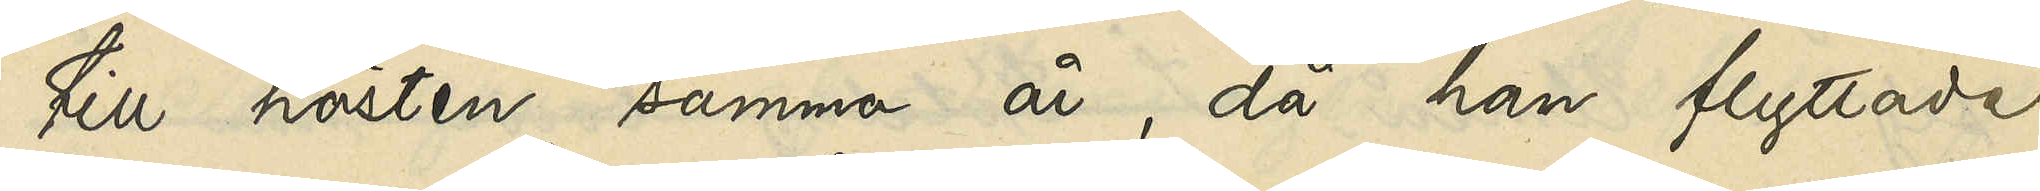till hösten samma år, då han flyttade
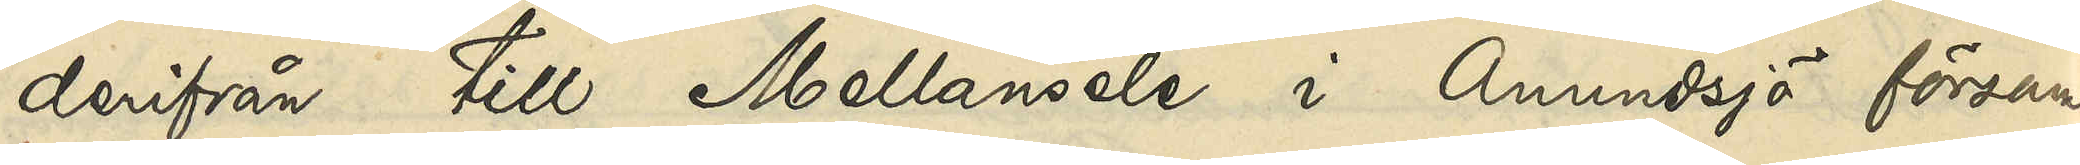derifrån till Mellansele i Anundsjö försam¬
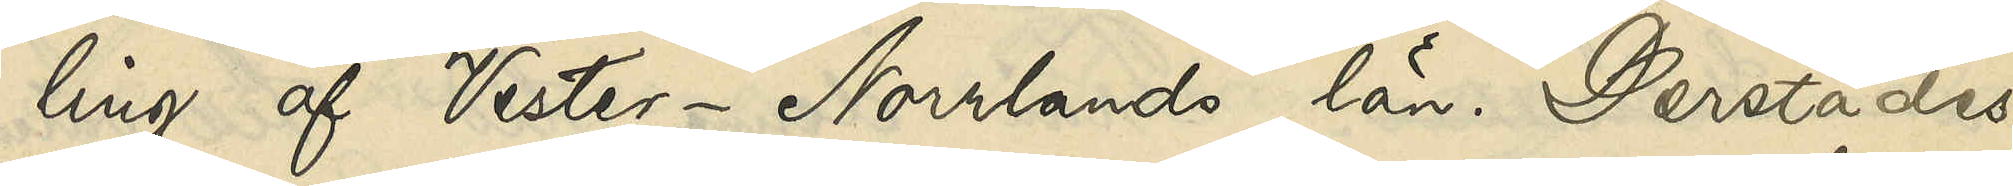ling af Vester-Norrlands län. Derstädes
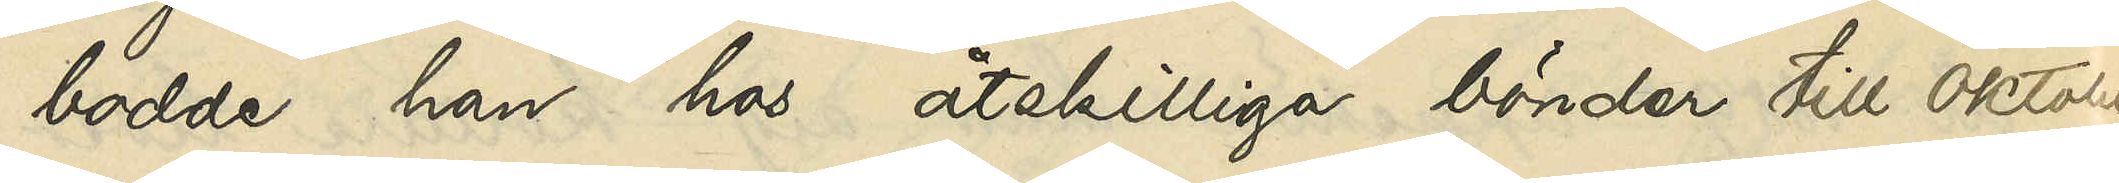bodde han hos åtskilliga bönder till Oktober
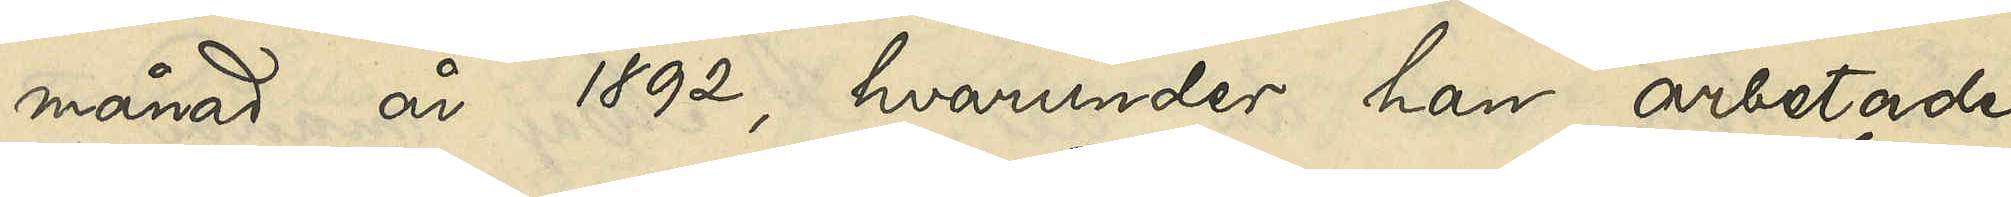månad år 1892, hvarunder han arbetade
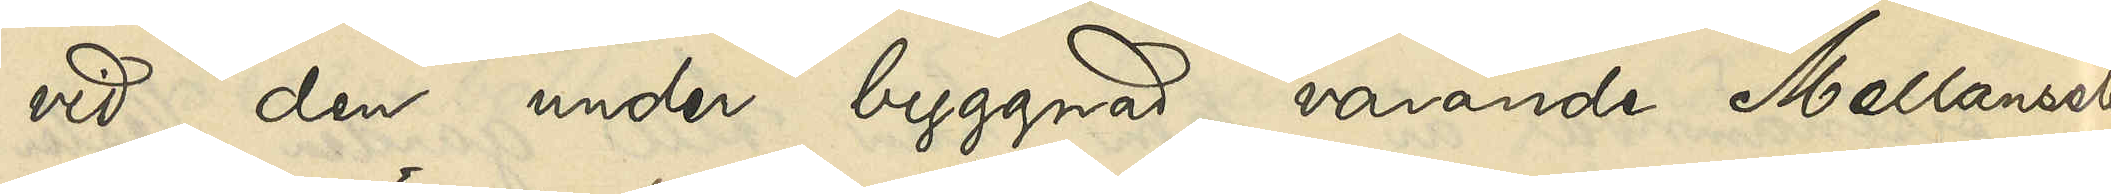vid den under byggnad varande Mellansele
